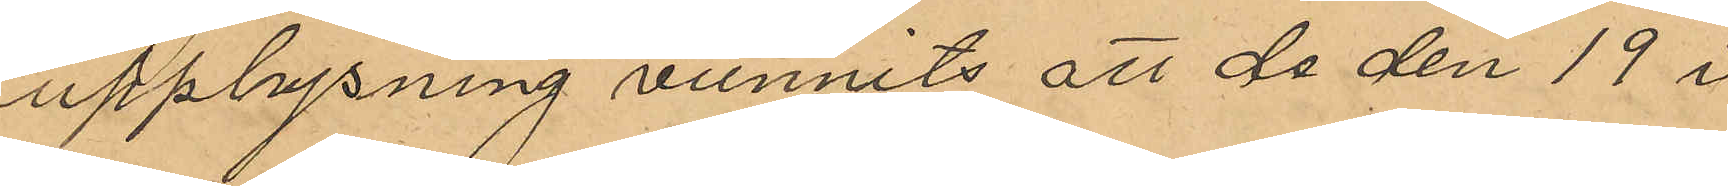upplysning vunnits att de den 19 i
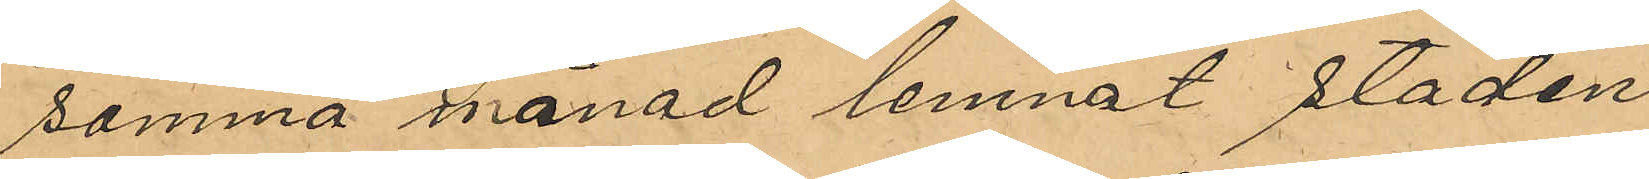samma månad lemnat staden
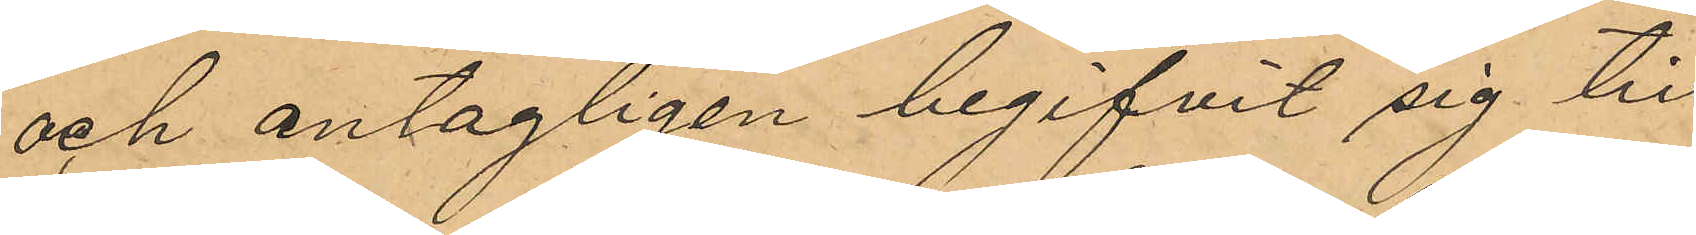och antagligen begifvit sig till
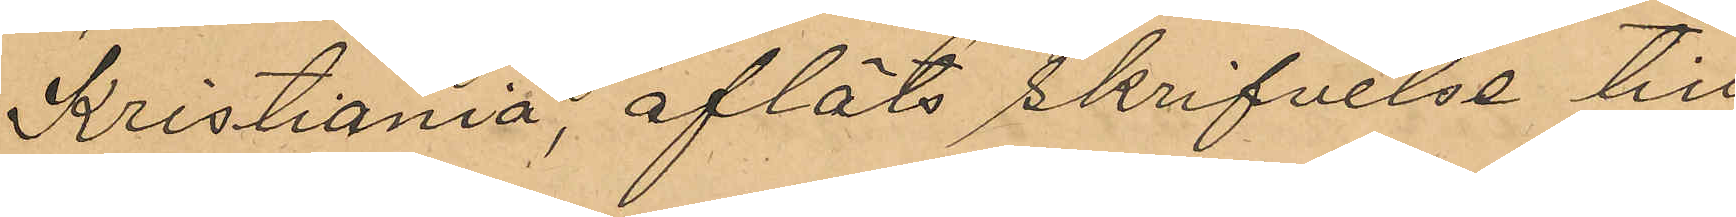Kristiania, afläts skrifvelse till
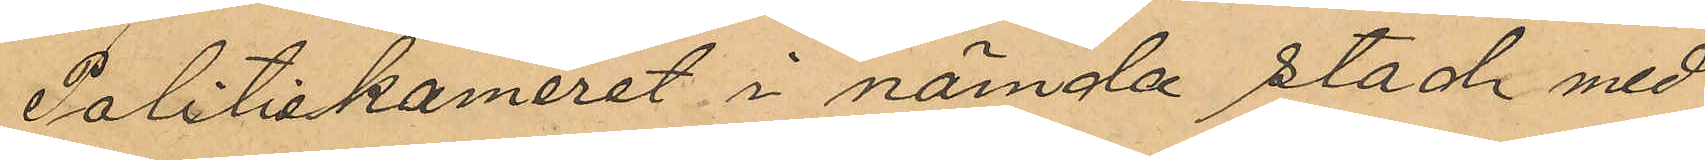Politikameret i nämnda stad med
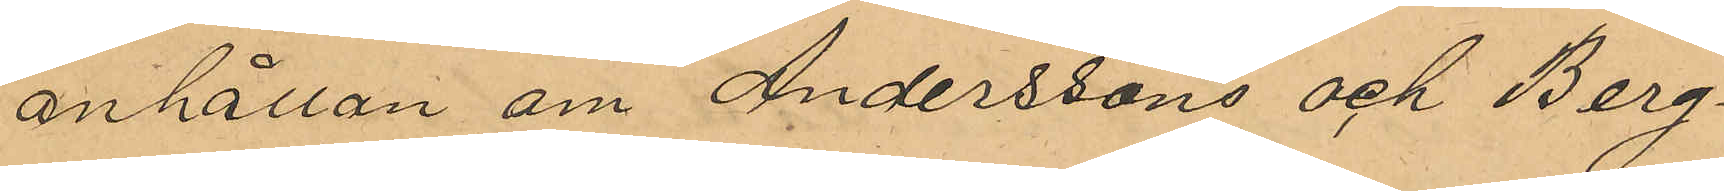anhållan om Andersson och Berg¬
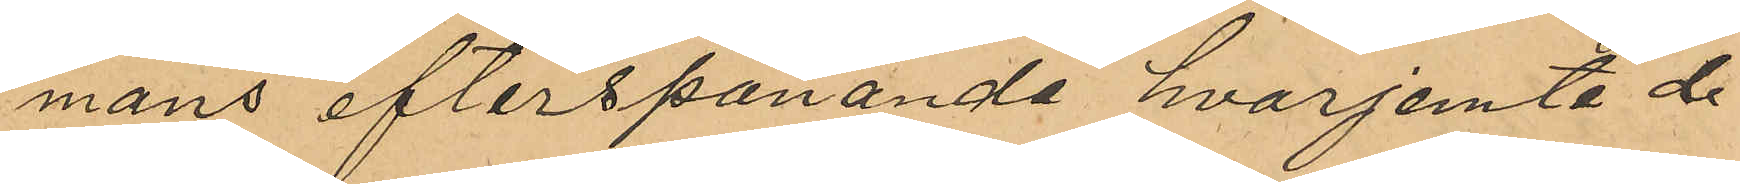mans efterspanande hvarjemte de
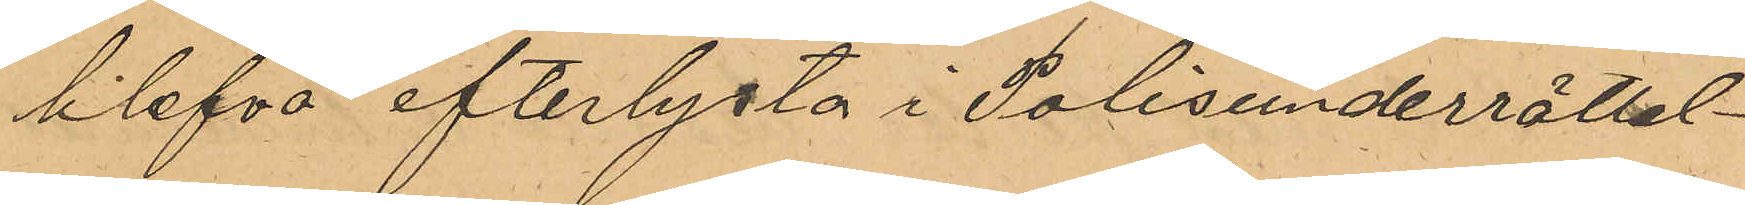blefvo efterlysta i Polisunderrättel¬
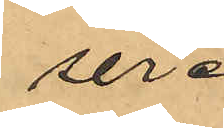ser.
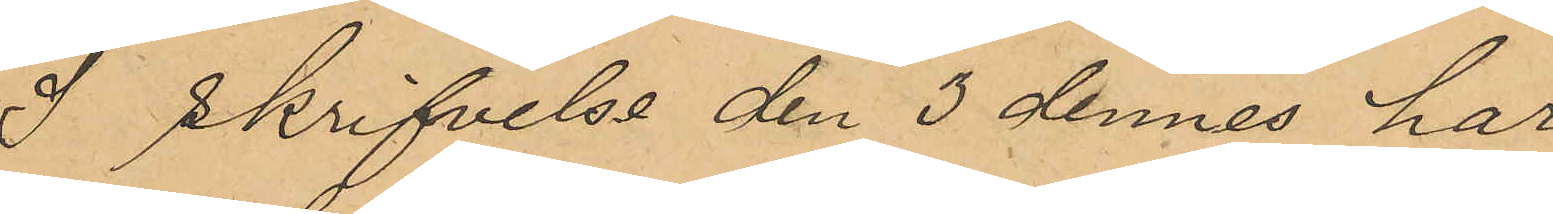I skrifvelse den 3 dennes har
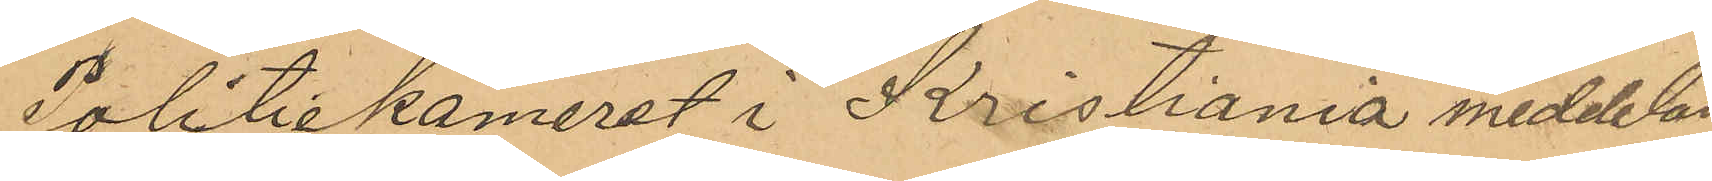Politikameret i Kristiania meddelat
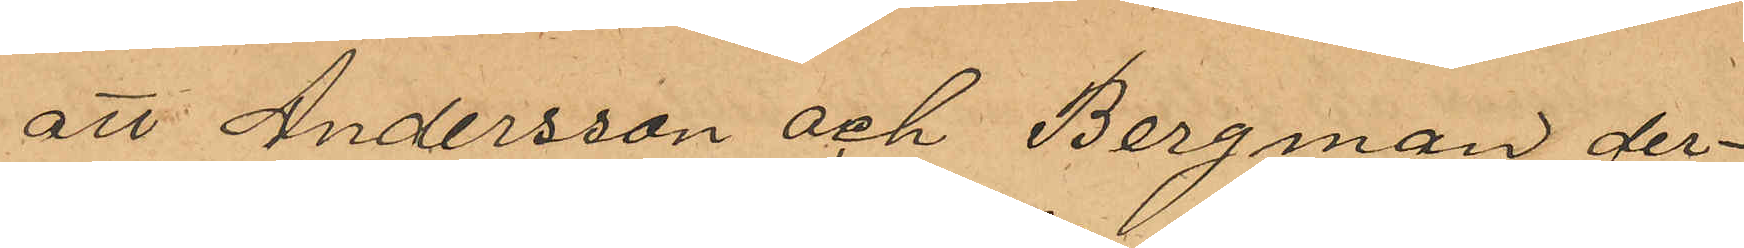att Andersson och Bergman der¬
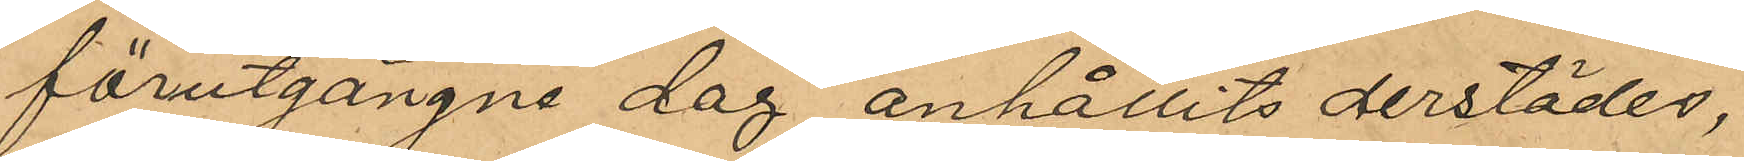förutgångne dag anhållits derstädes,
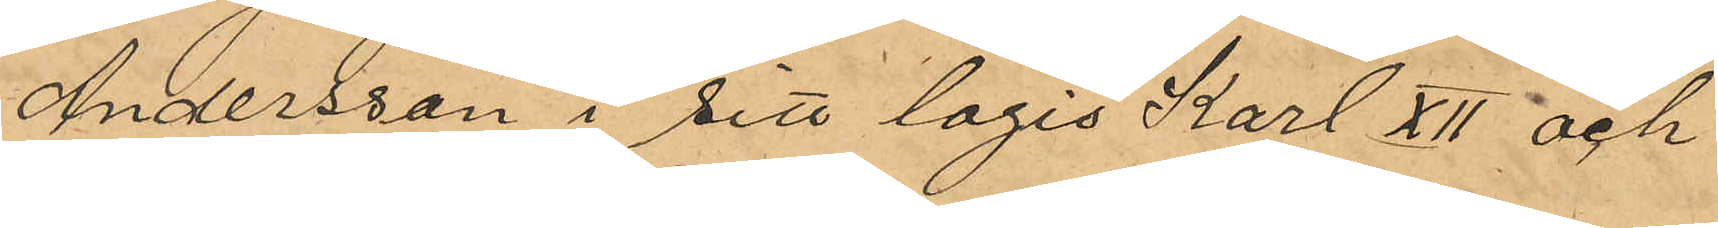Andersson i sitt logis Karl XII och
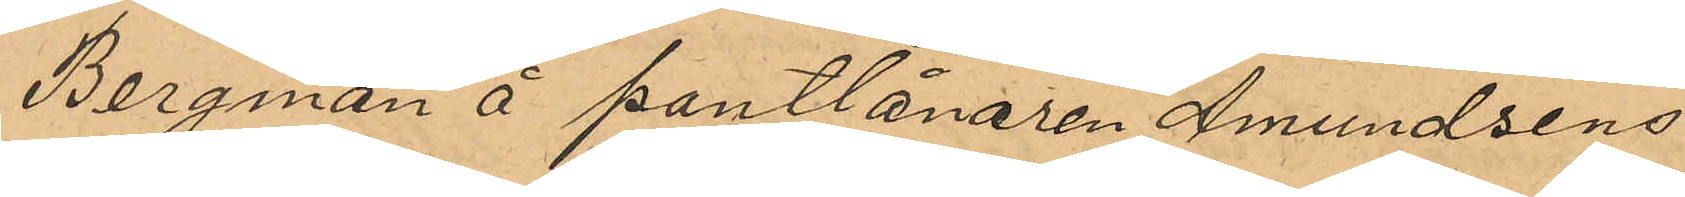Bergman å pantlånaren Amundsens
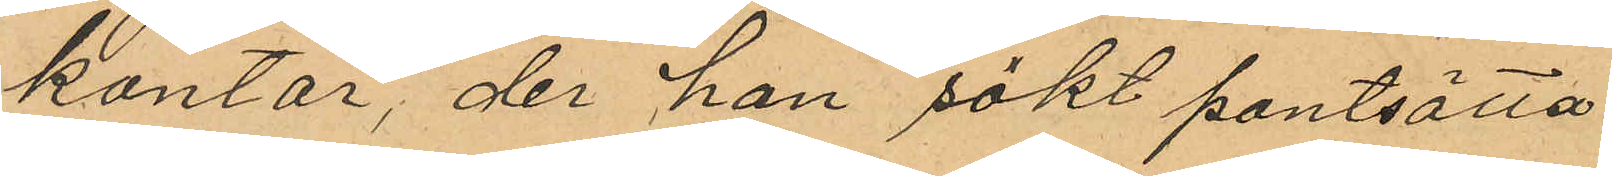kontor, der han sökt pantsätta
